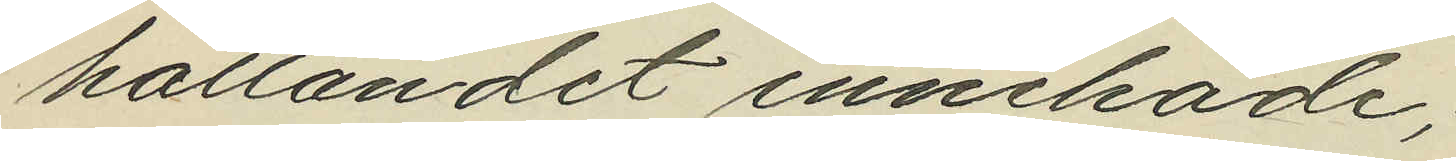hållandet innehade;
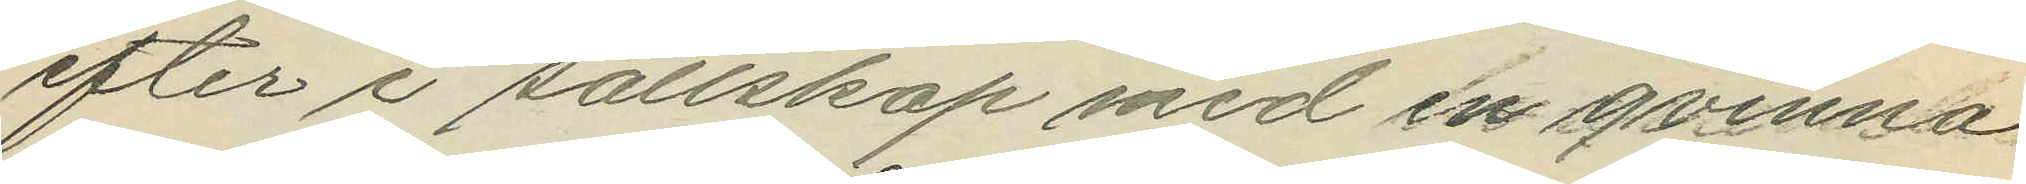efter i sällskap med en qvinna
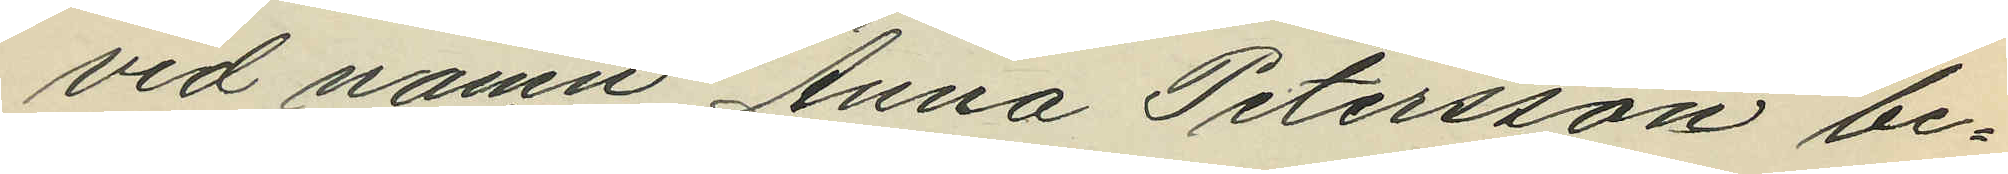vid namn Anna Petersson be¬
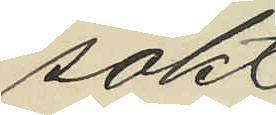sökt
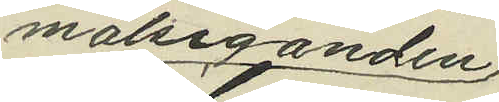målseganden
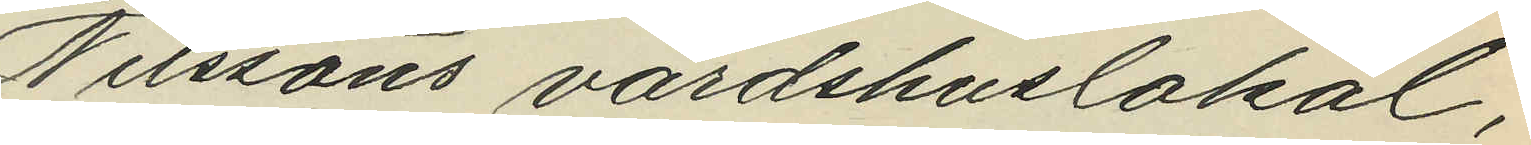Nilssons värdshuslokal,
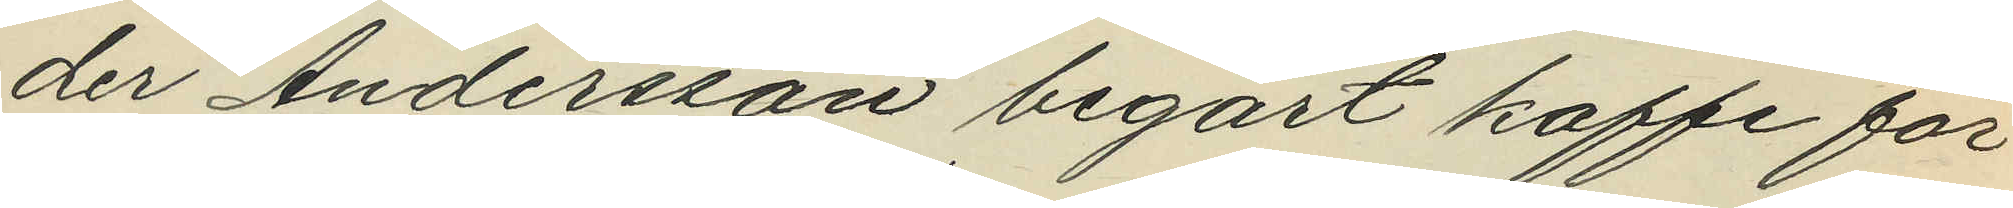der Andersson begärt kaffe för
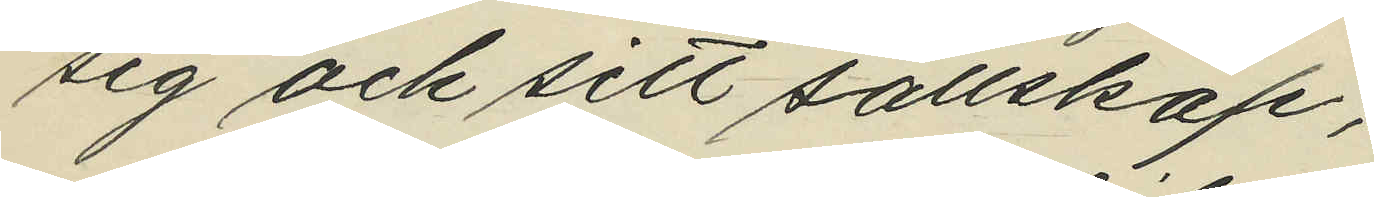sig och sitt sällskap;
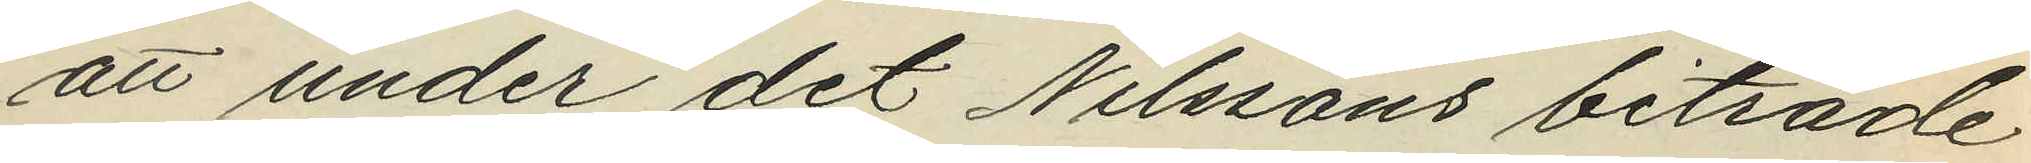att under det Nilssons biträde
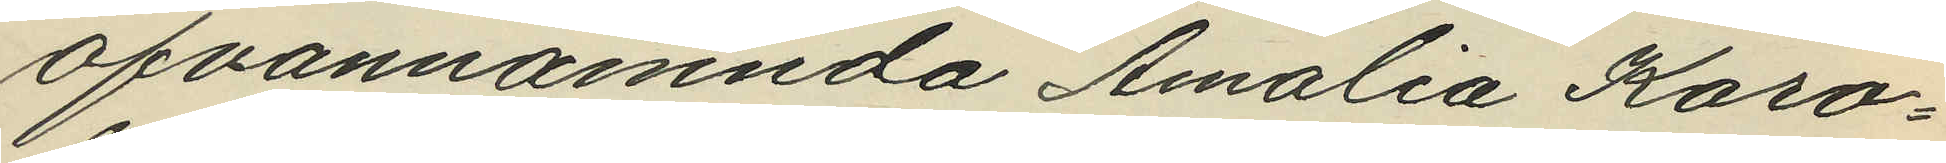ofvannämnda Amalia Karo¬
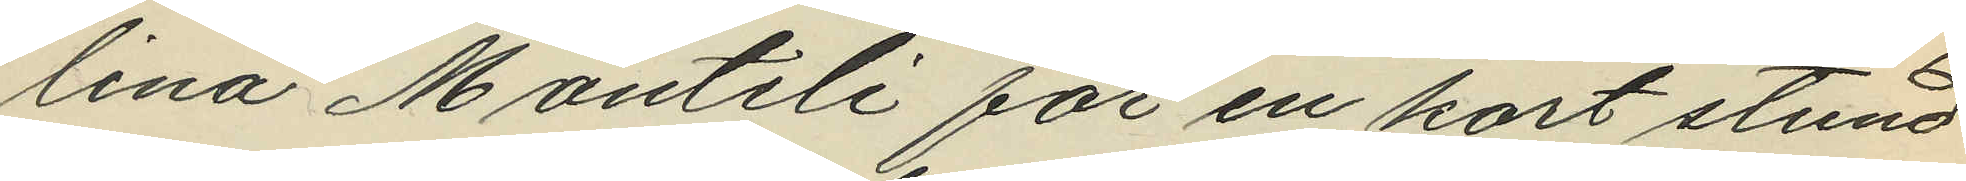lina Monteli för en kort stund
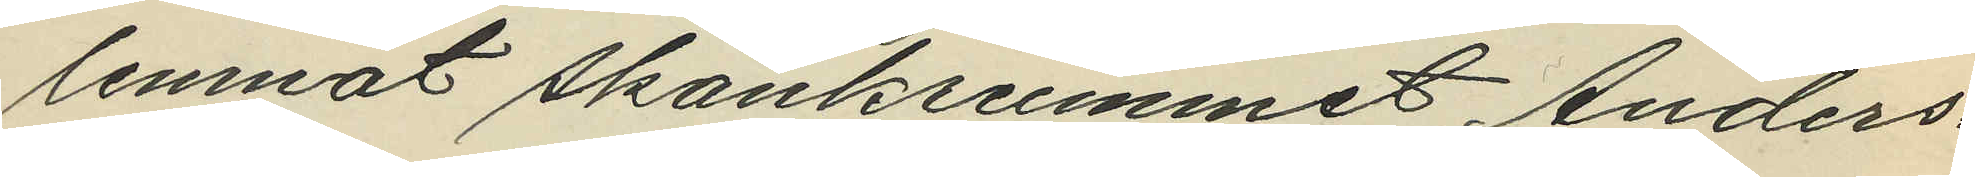lemnat skänkrummet Anders¬
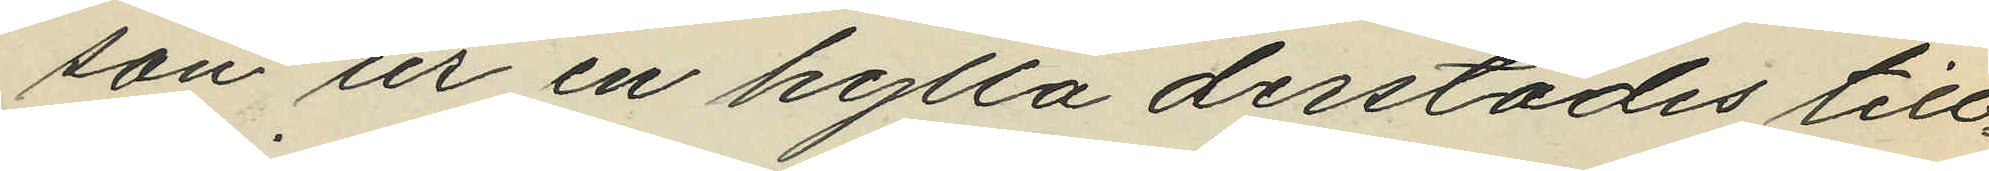son ur en hylla derstädes till¬
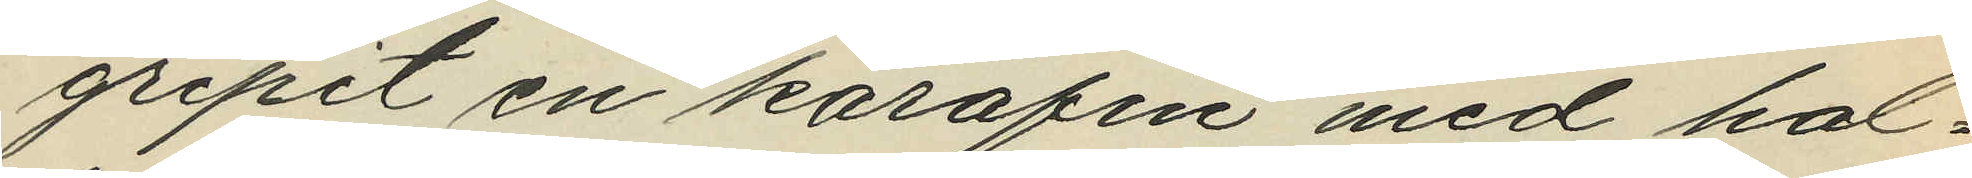gripit en karafin med hal¬
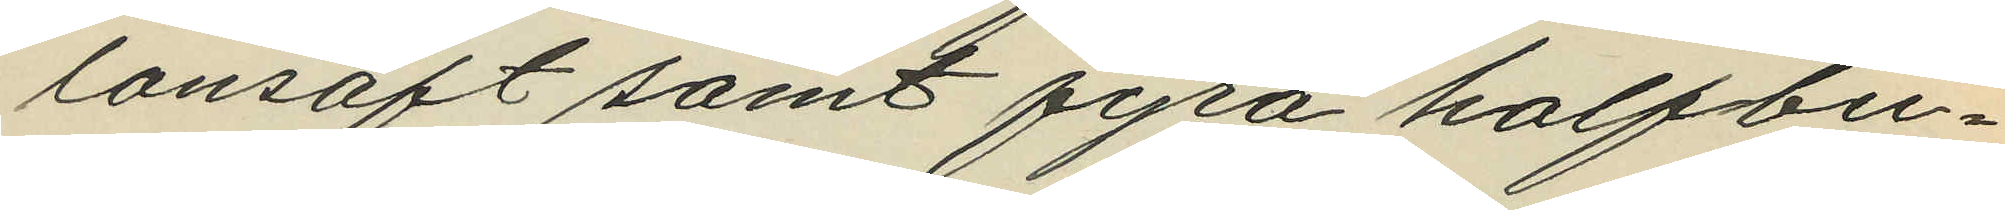lonsaft samt fyra halfbu¬
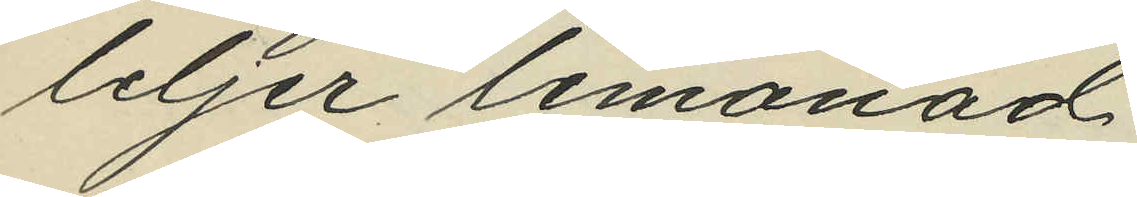leljer lemonad
